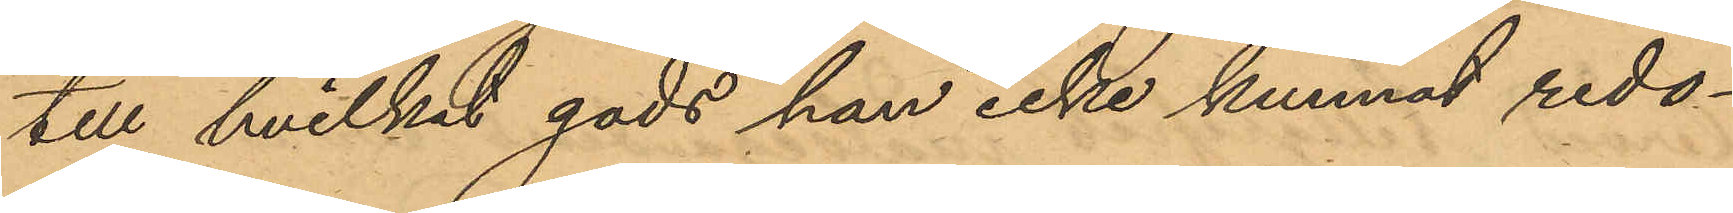till hvilket gods han icke kunnat redo¬
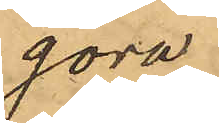göra.
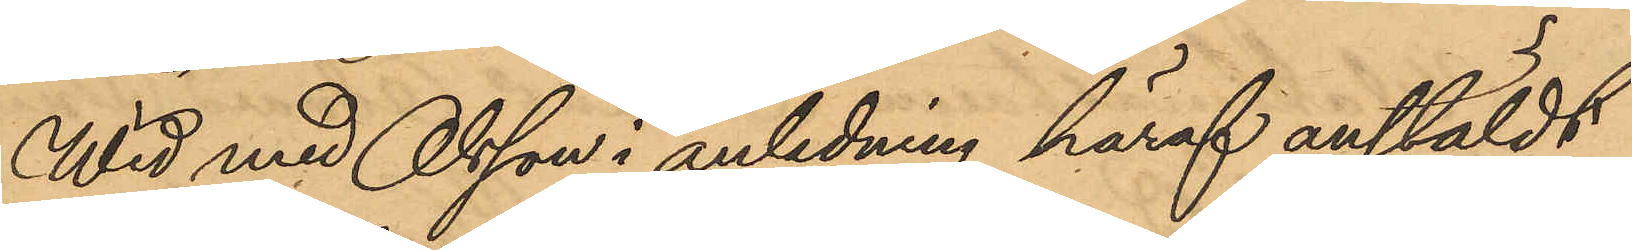Wid med Olsson i anledning häraf anstäldt
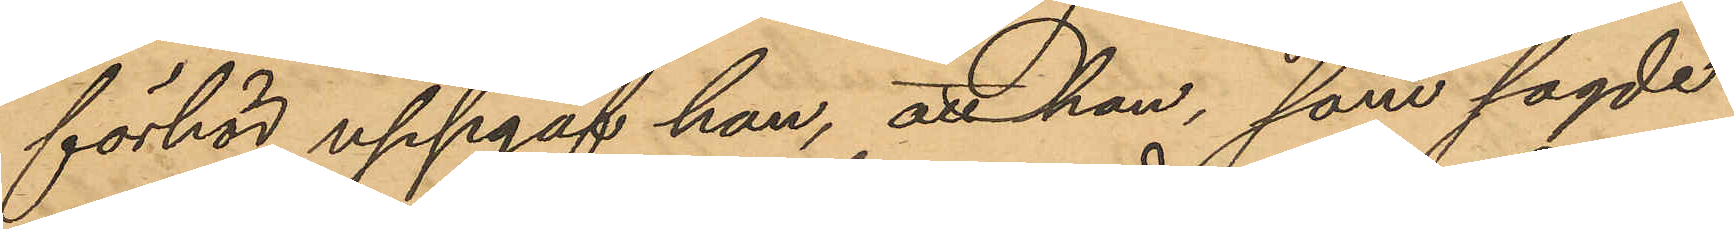förhör uppgaf han, att han, som sagde
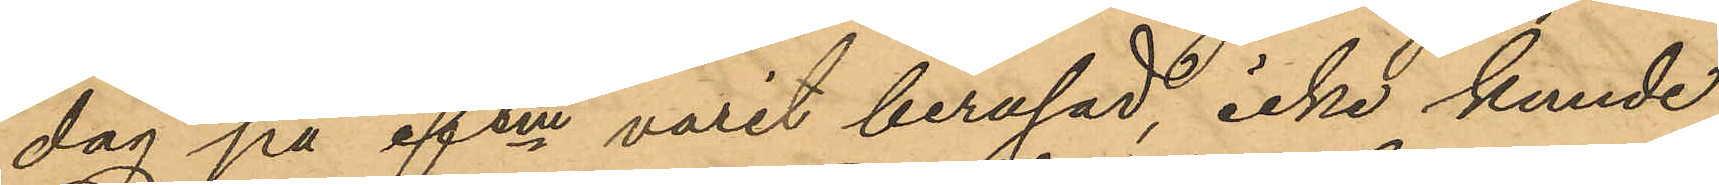dag på eftm varit berusad, icke kunde
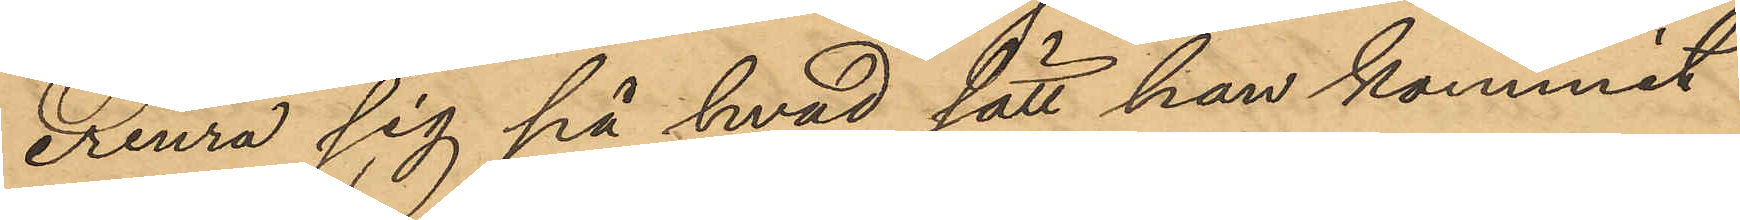erinra sig på hvad sätt han kommit
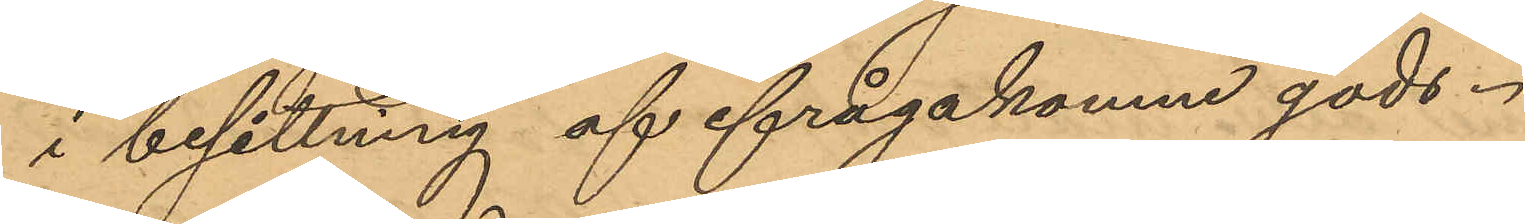i besittning af ifrågakomne gods.
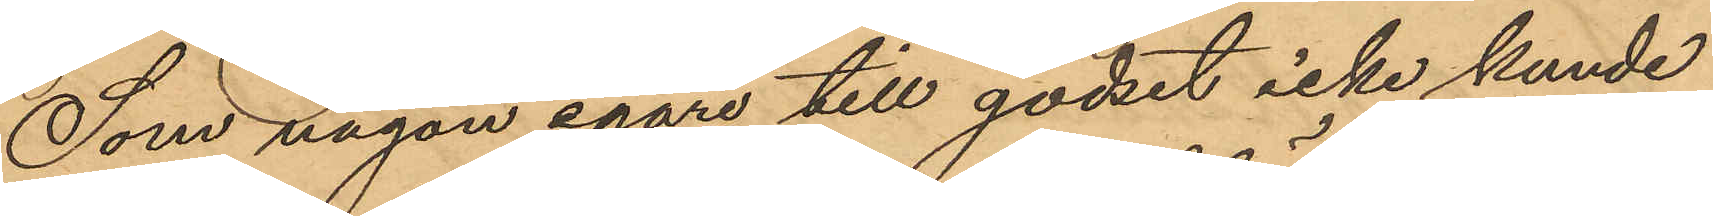Som någon egare till godset icke kunde
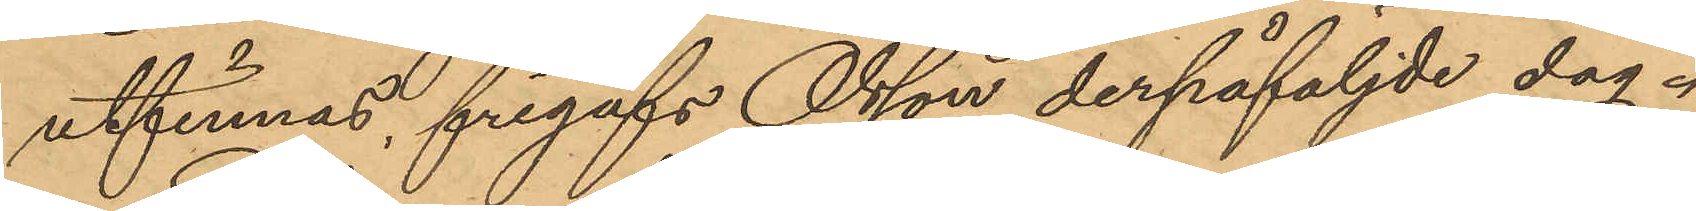utfinnas, frigafs Olsson derpåföljde dag.
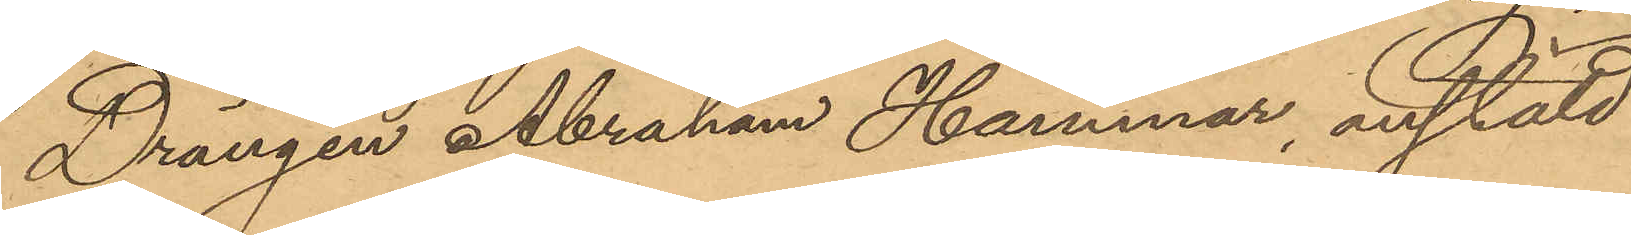Drängen Abraham Hammar, anstäld
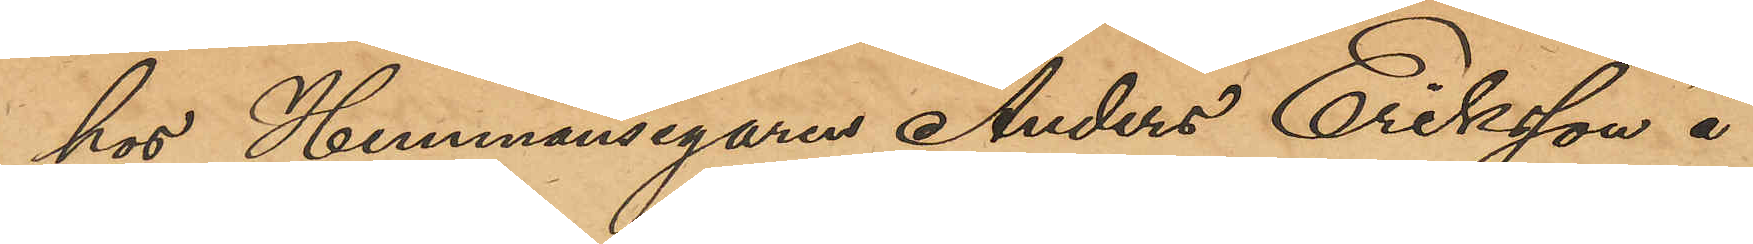hos Hemmansegaren Anders Eriksson å
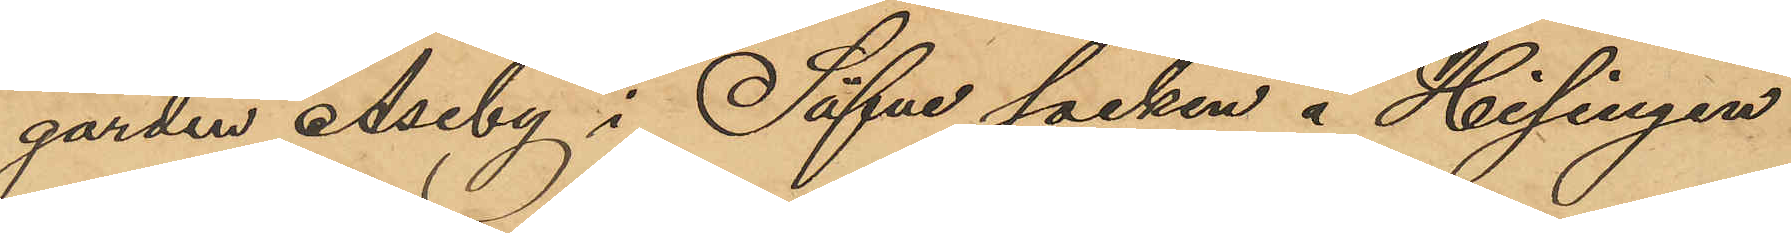gården Åseby i Säfve socken å Hisingen
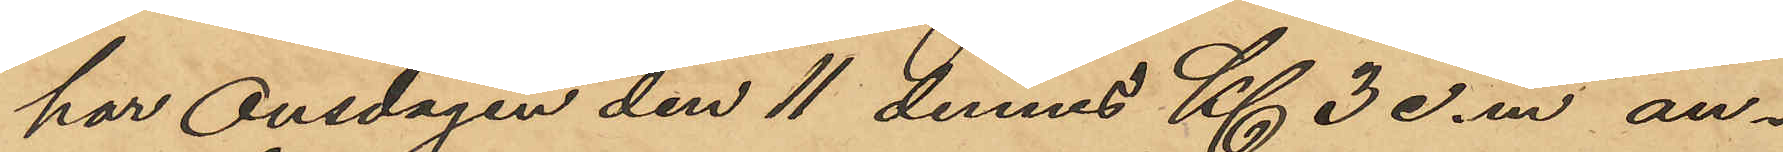har Onsdagen den 11 dennes Kl 3 e.m. an¬
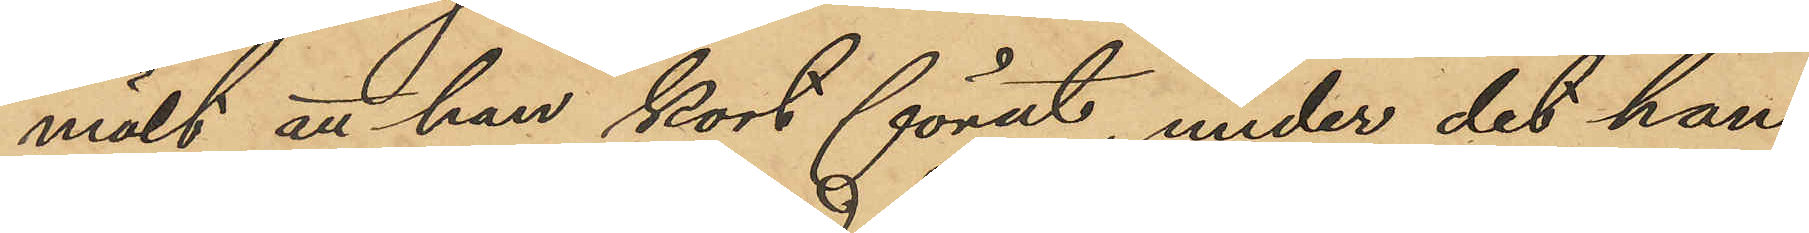mält att han kort förut, under det han
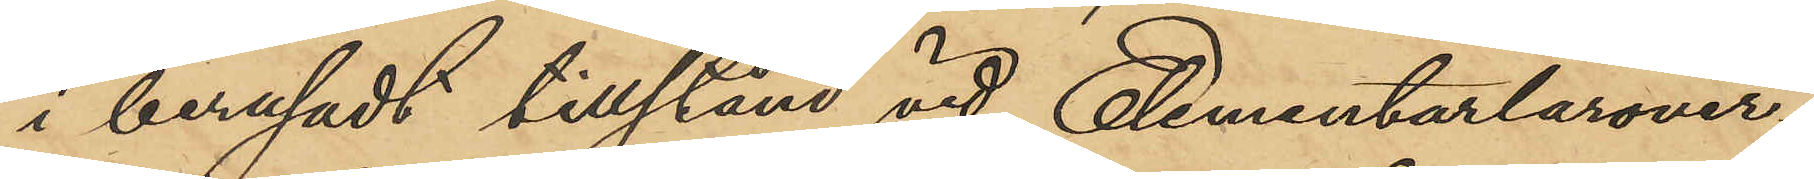i berusadt tillstånd vid Elementarlärover¬
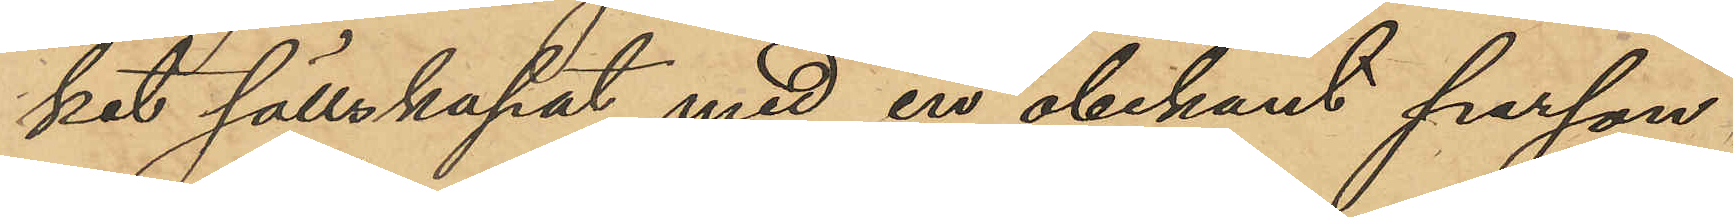ket sällskapat med en obekant person,
